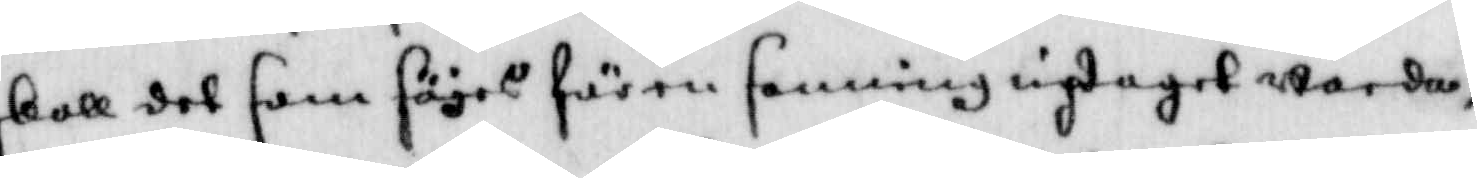skall det som säjes för en sanning uptaget warda
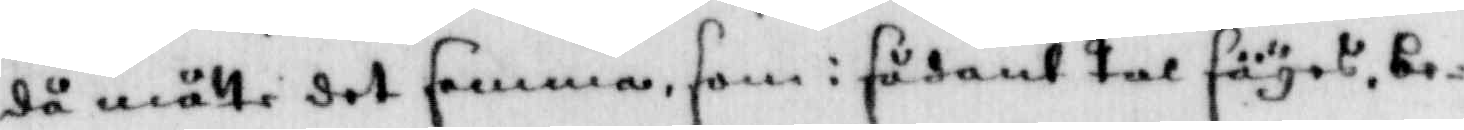då måtte det samma som i sådant tal säyes, be¬
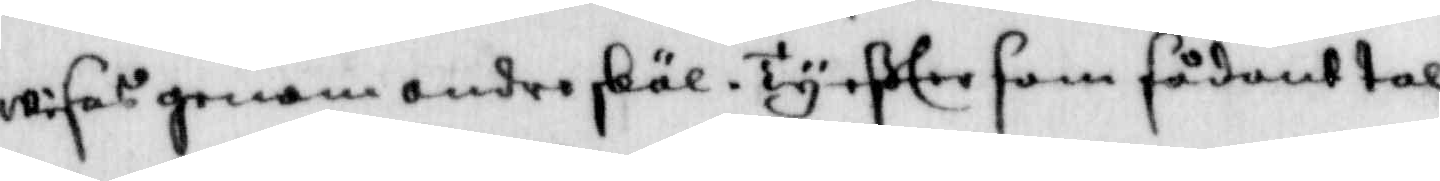wisas genom andre skäl. Ty efter som sådant tal
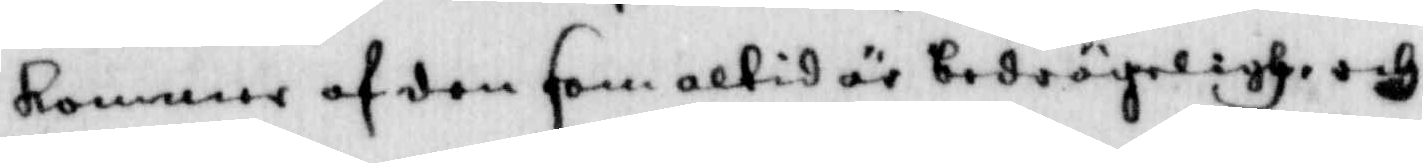kommer af den som altid är bedrägeligh och
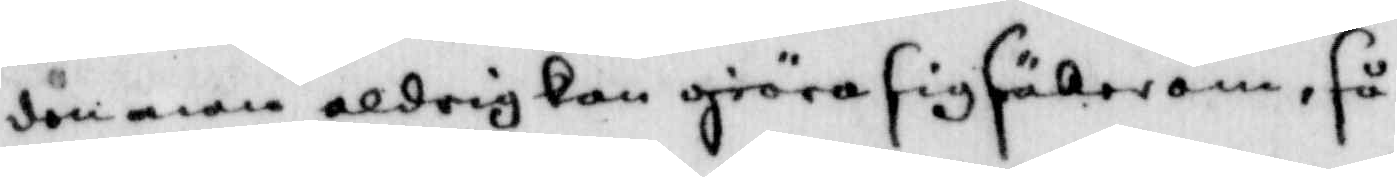dömman aldrig kan giöra sig säker om, så
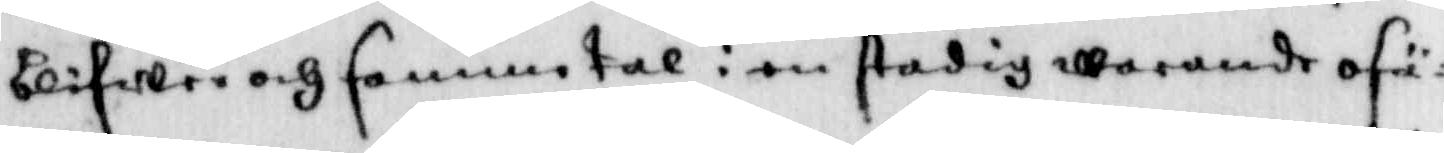blifwer och samma tal i en stadig warande osä¬
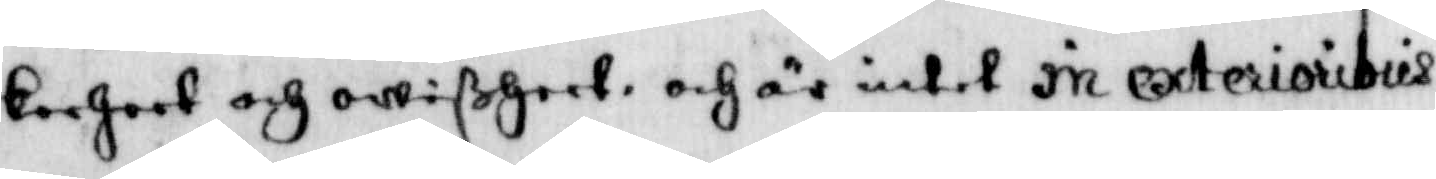kerheet och owißheet, och är intet in exterioribus
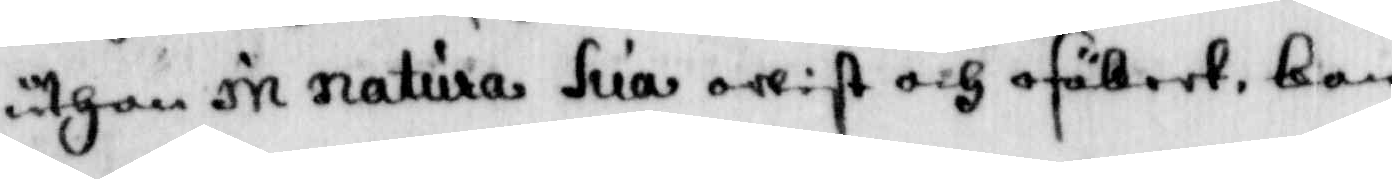uthan in natura hua owist och osäkert, kan
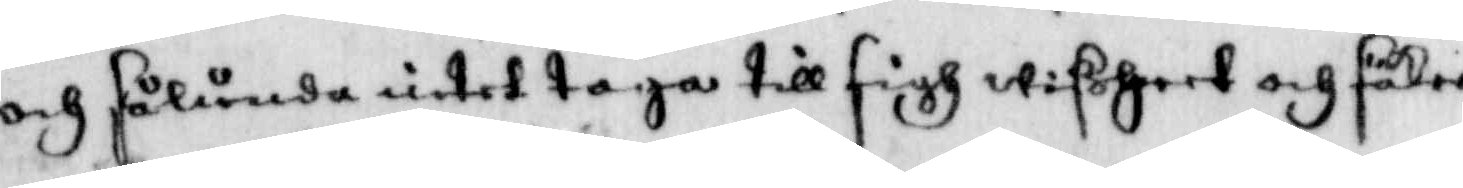och sålunda intet taga till sigh wißheet och säker¬
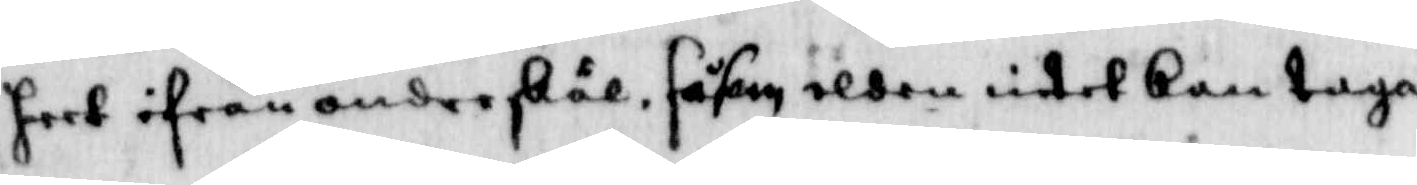heet ifrån anfre skäl, såsom elden intet kan taga
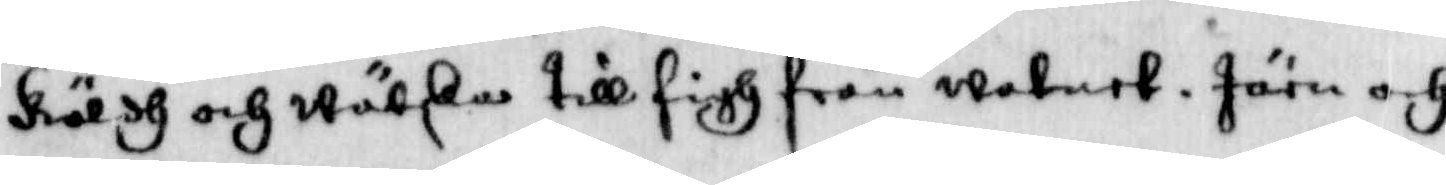köldh och wätska till sigh från watnet, Järn och
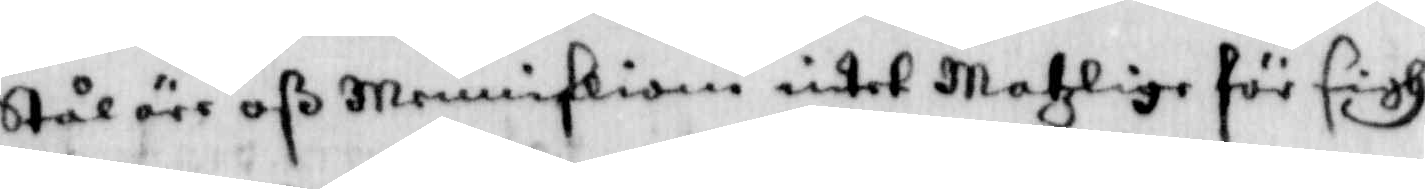Stål äre oß Menniskiom intet Matzlige för sigh
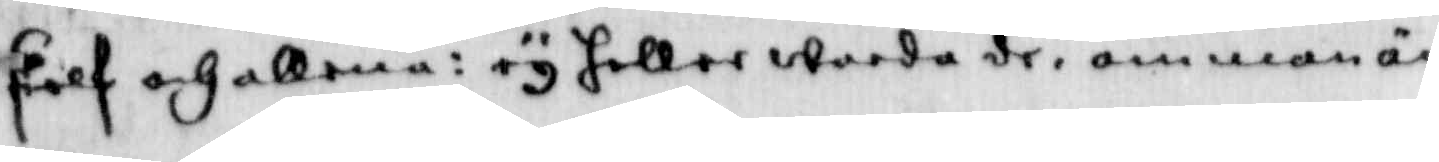sielf och allena, ey heller warda de, om man än
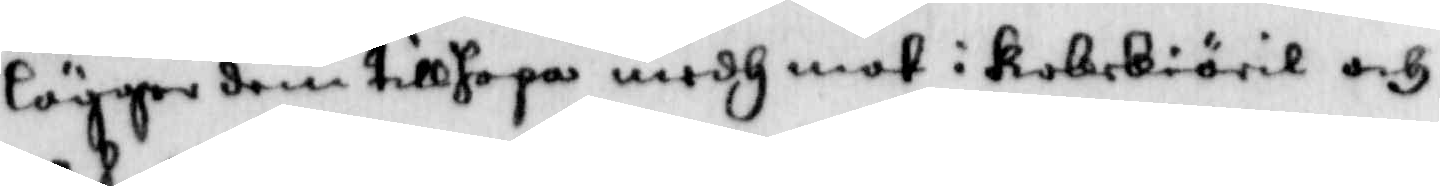lägger dem tillhopa medh mot i kokekiäril och
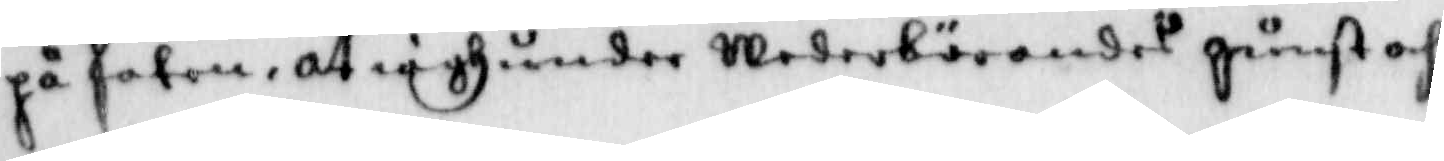på faten, at iagh under Wederbörandes gunst och 
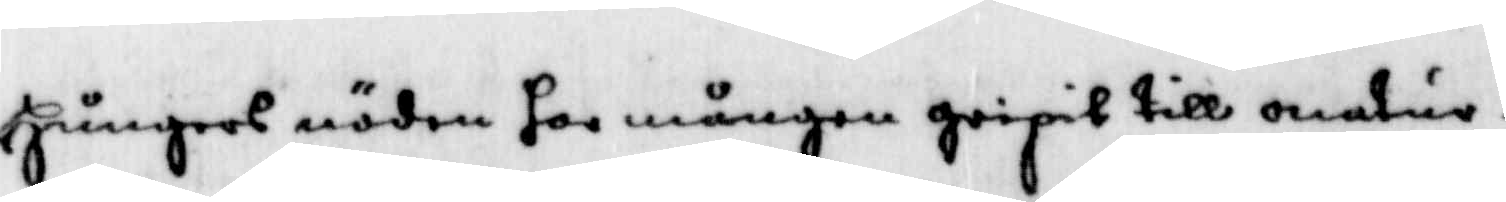Hungers nöden har mången gripit till onatur¬
